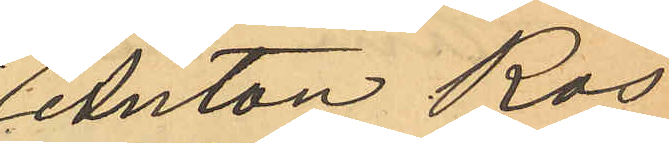Anton Ros
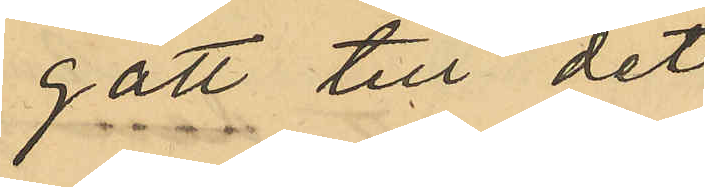gått till det
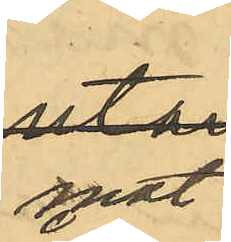mot
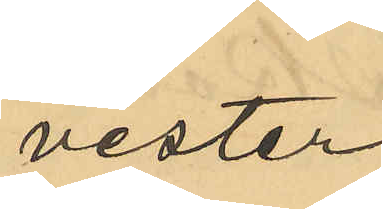vester
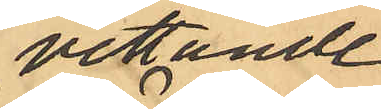vettande 
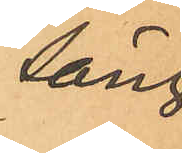säng¬
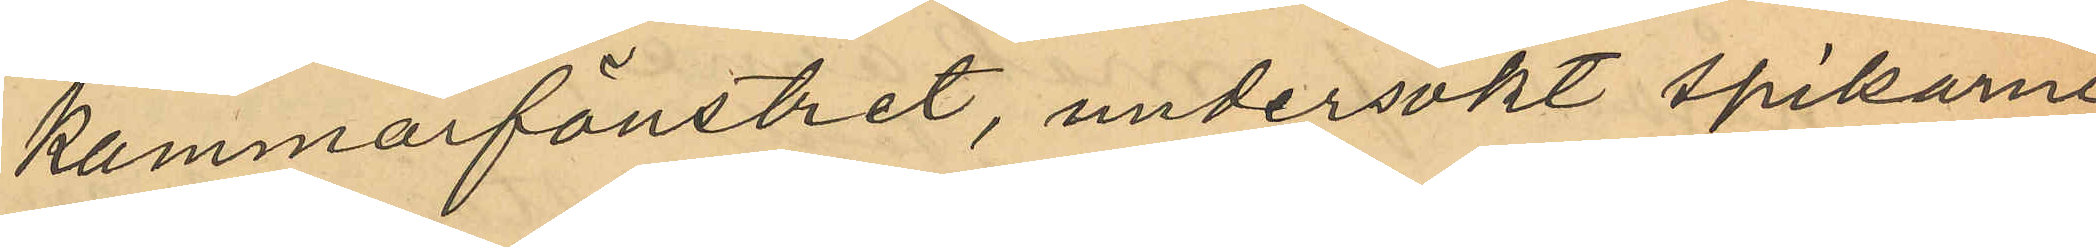kammarfönstret, undersökt spikarne
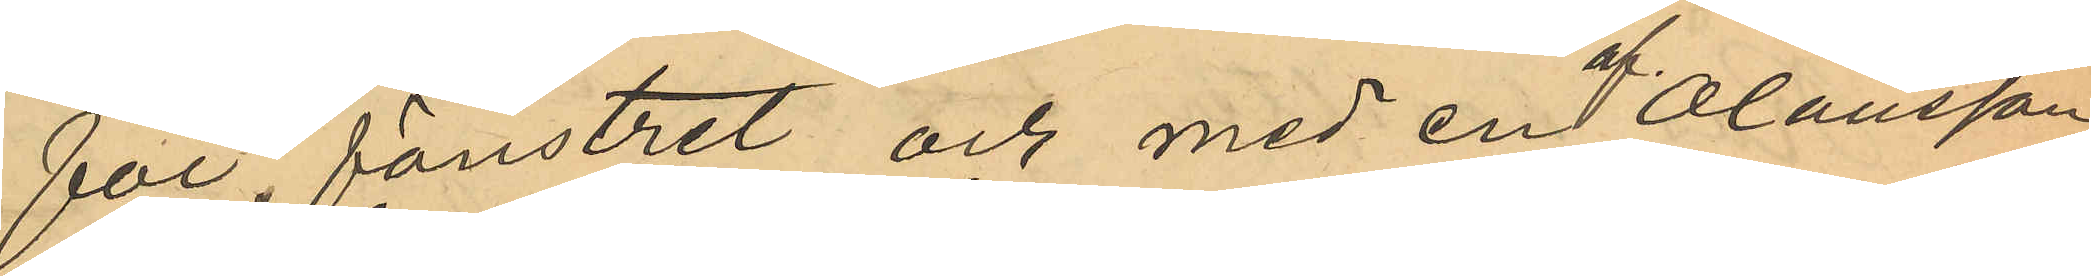för fönstret och med en af Olausson
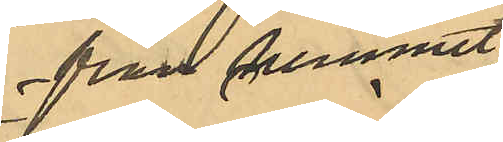från hemmet 
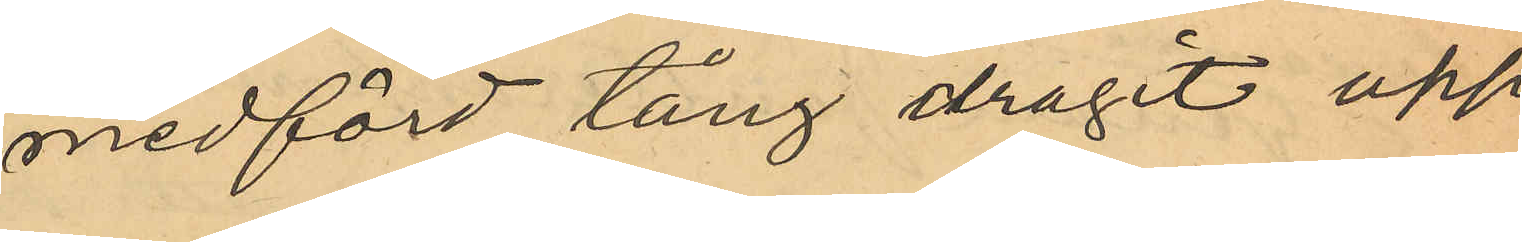medförd tång dragit upp
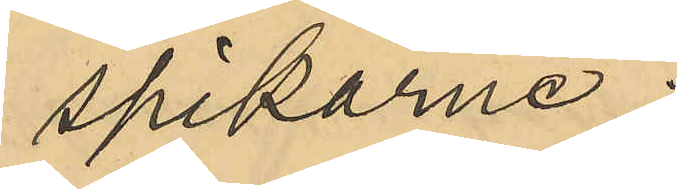spikarne;
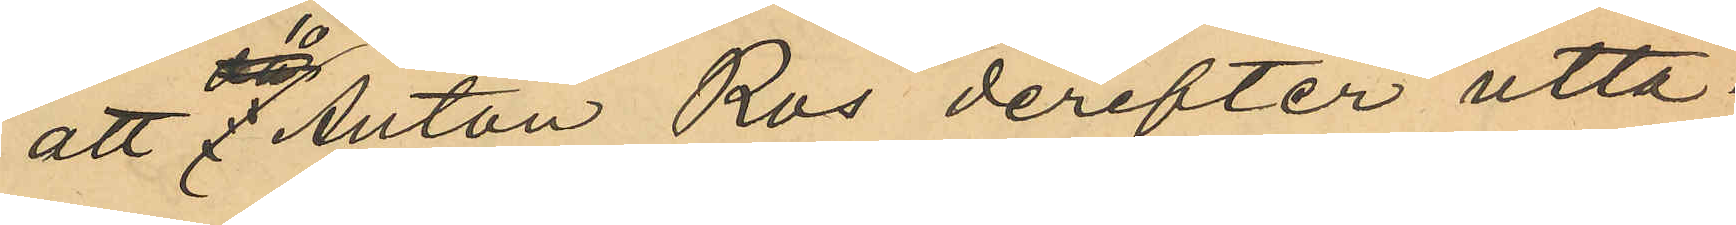att Anton Ros derefter utta¬
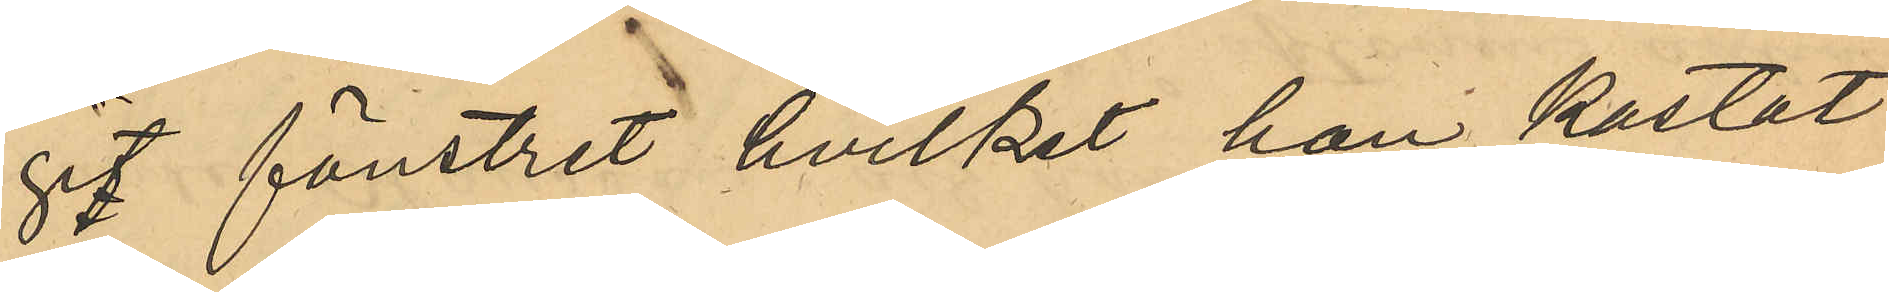git fönstret hvilket han kastat 
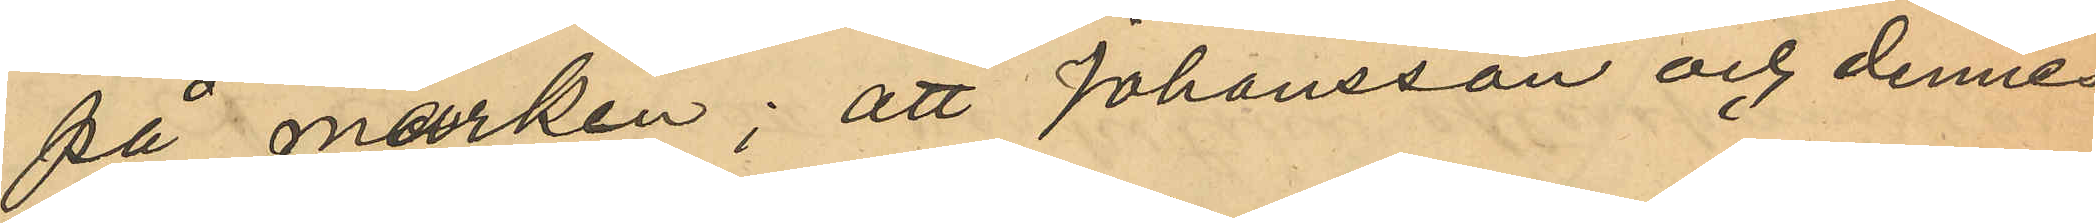på marken; att Johansson och dennes
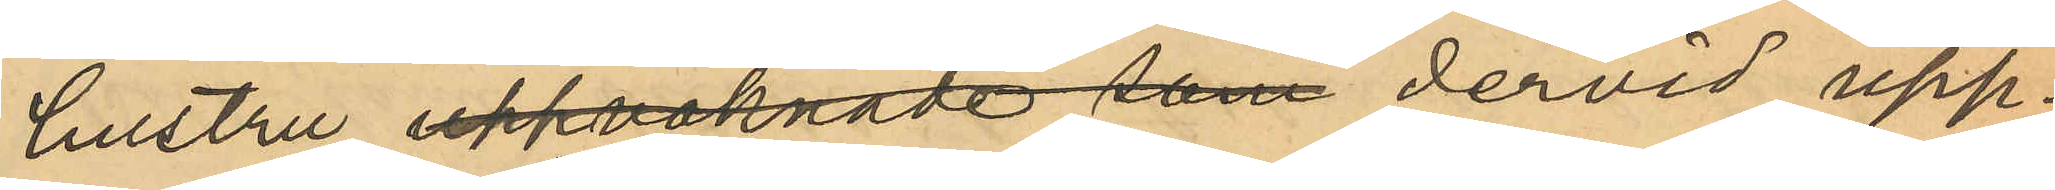hustru uppvaknade som dervid upp¬
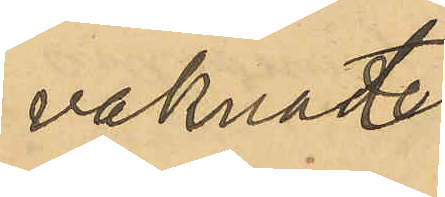vaknat 
